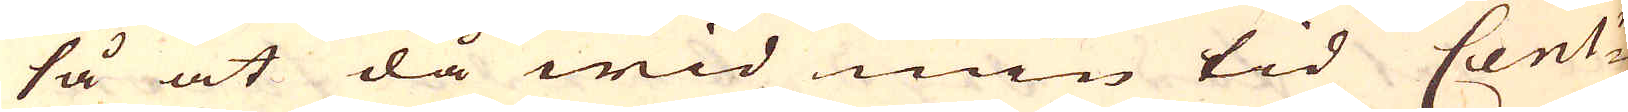så at då wid min tid Cent:n
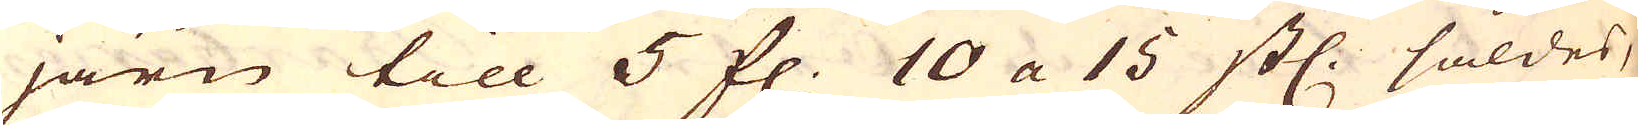järn till 5 fl. 10 a 15 st. såldes,
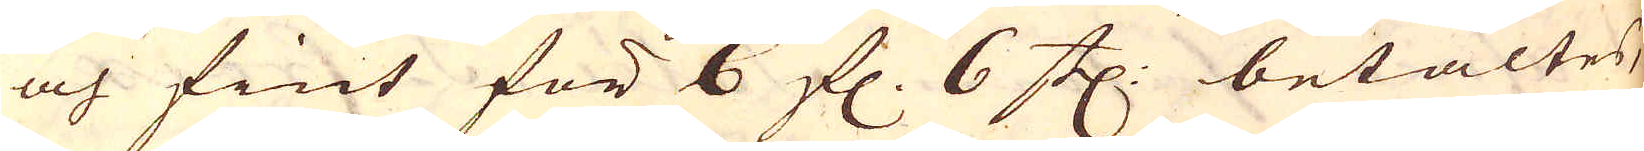och fint för 6 fl. 6 st: betaltes,
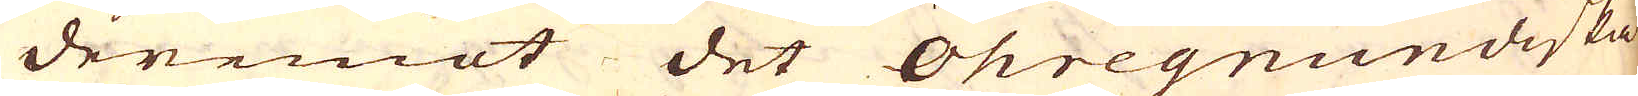deremot det Öhregrundiska
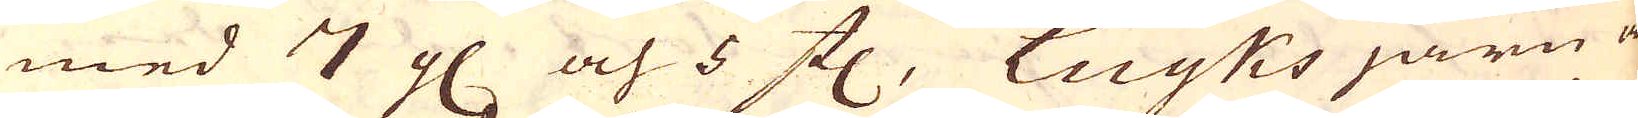med 7 gl och 5 st, Luyks järn är
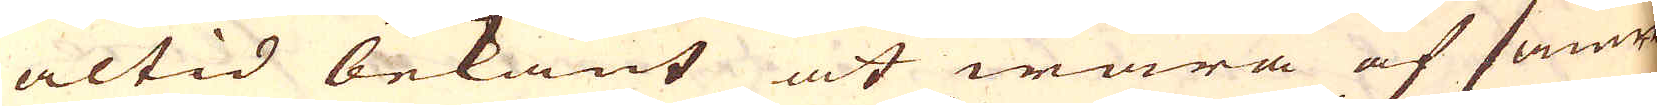altid bekant at wara af sämre
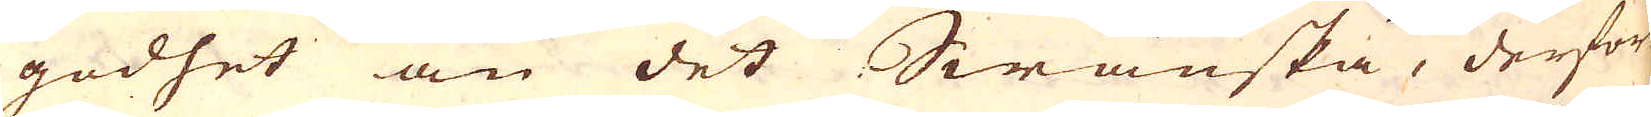godhet än det Swänska, derföre
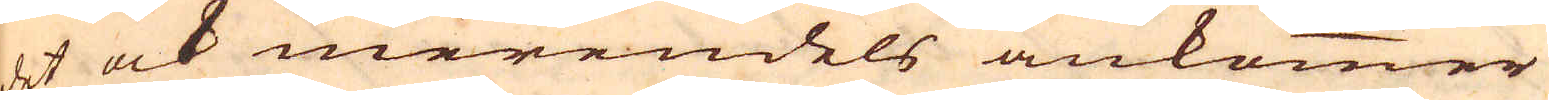det ock merendels ankommer
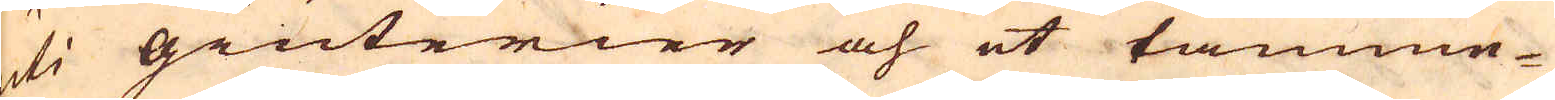uti giuterier och et tämme-
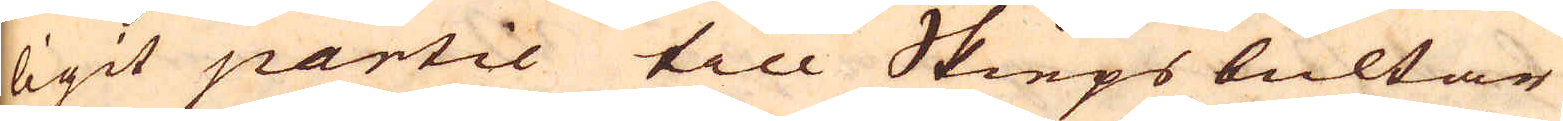ligit partie till Skieps bultar
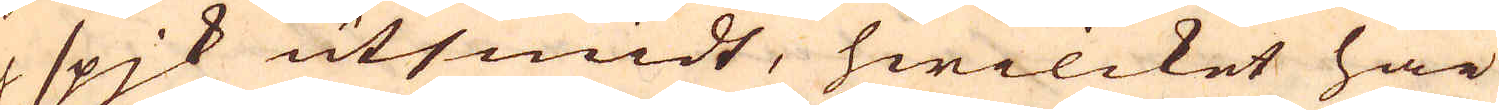ocl spjk utsmidt, hwilcket här
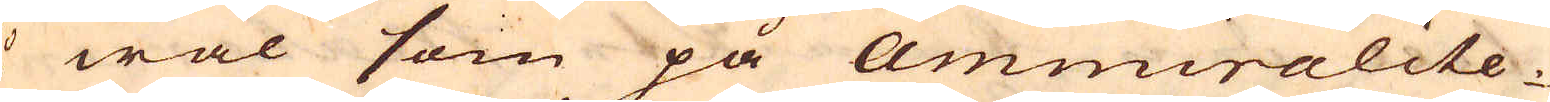så wäl som på Ammiralite-
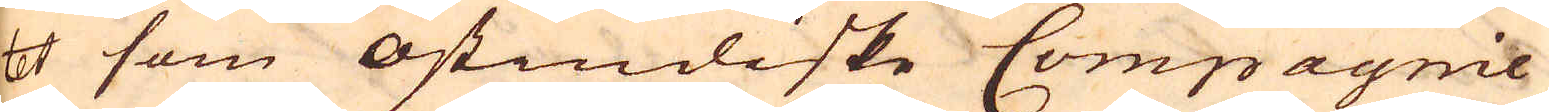tet som Ostindiske Compagnie
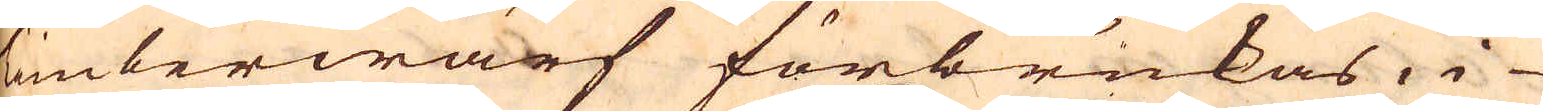Timberwärf förbrukas, i
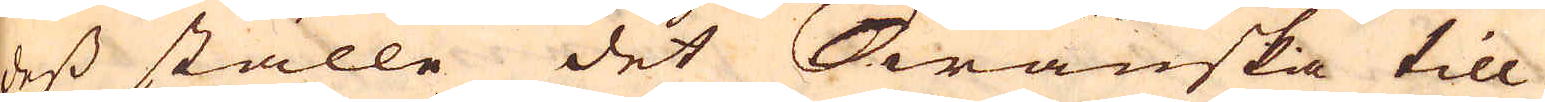dess ställe det Swänska till
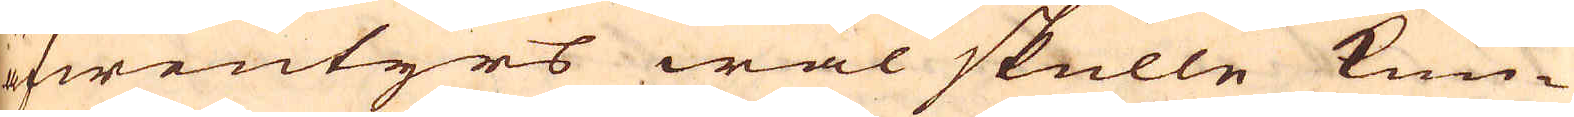äfwentyrs wäl skulle kun-
